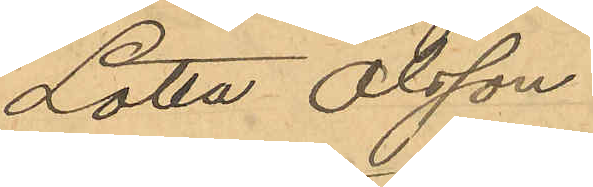Lotta Olsson
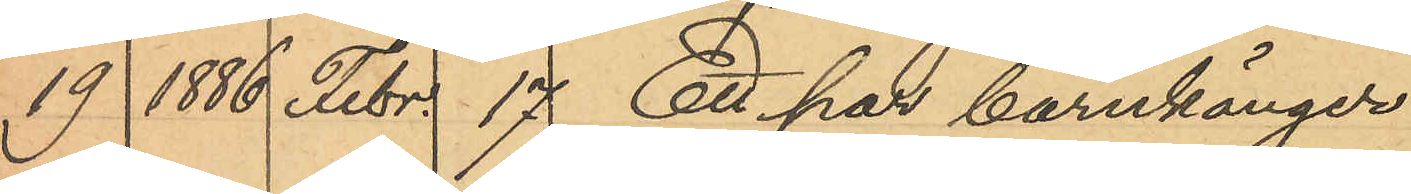19 1886 Febr. 17 Ett par barnkänger
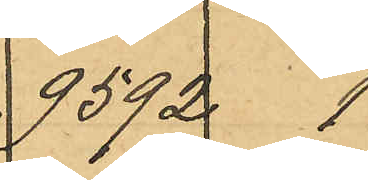9592 1
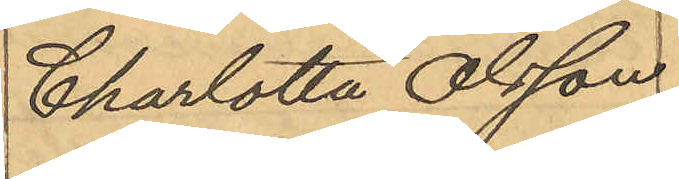Charlotta Olsson
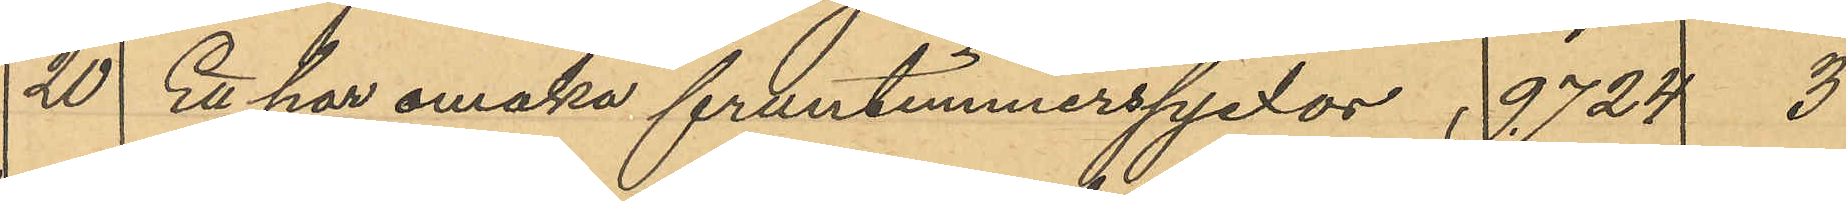20 Ett par omaka fruntimmerspjexor 9724  3
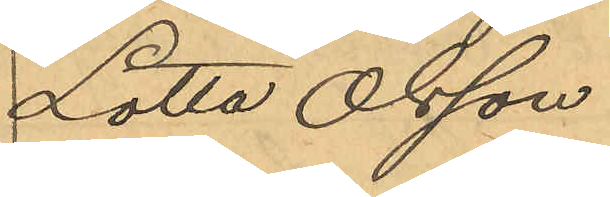Lotta Olsson
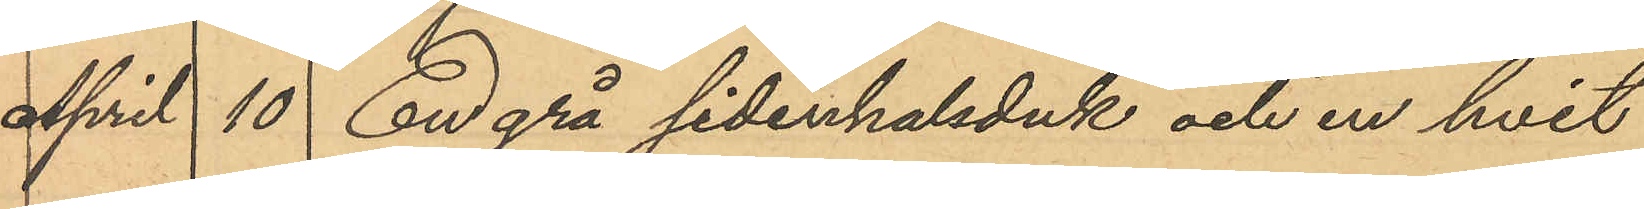April 10 En grå sidenhalsduk och en hvit
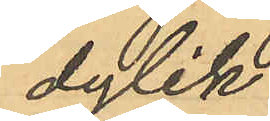dylik.
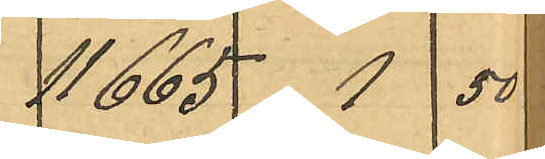11665  1  50
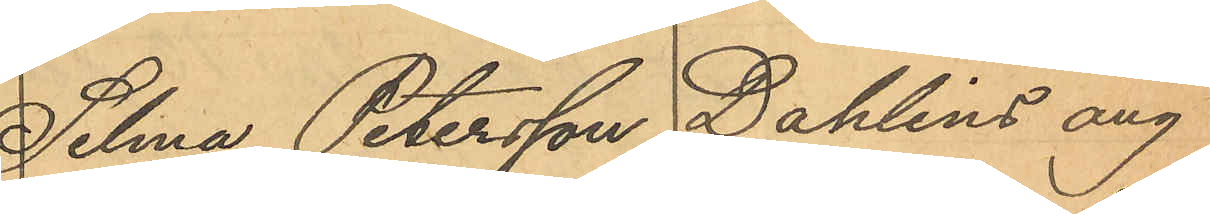Selma Petersson Dahlins äng
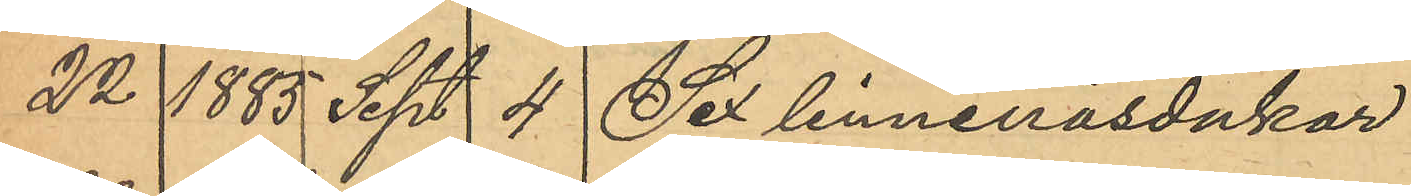22 1885 Sept. 4 Sex linnenäsdukar
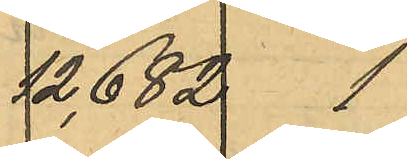12682  1
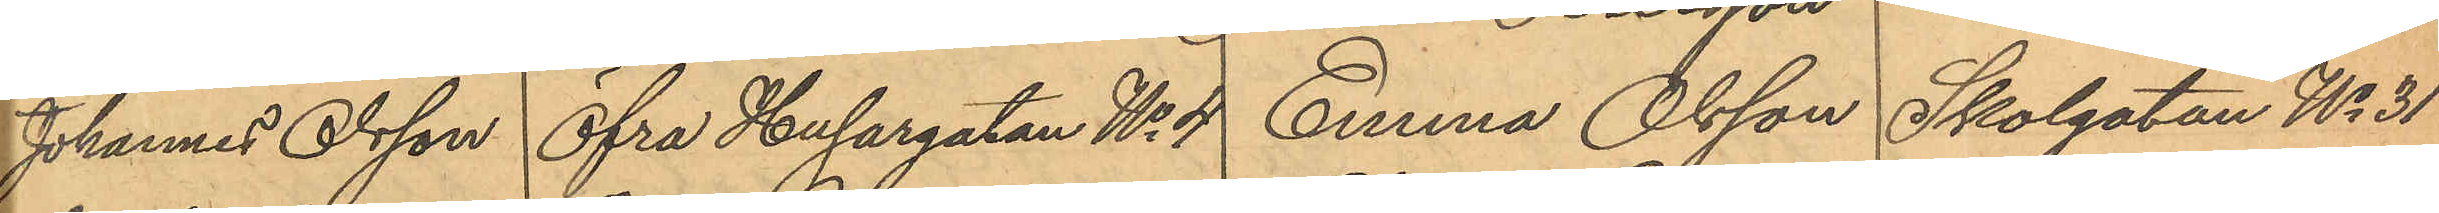Johannes Olsson Öfra Husargatan No 4 Emma Olsson Skolgatan No 31
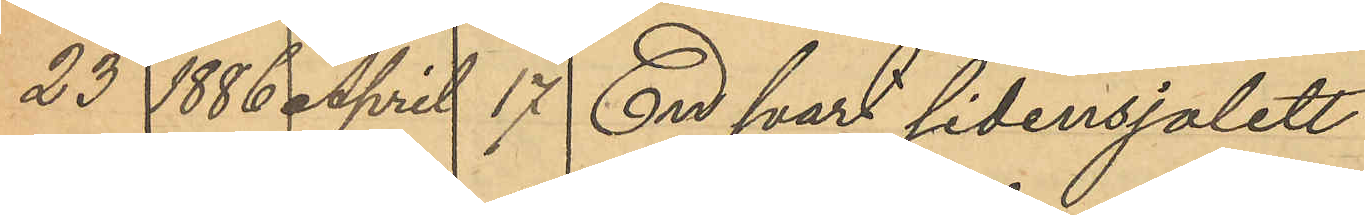23 1886 April 17 En svart sidensjalett
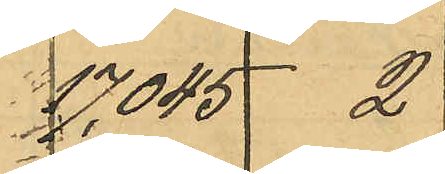17045  2
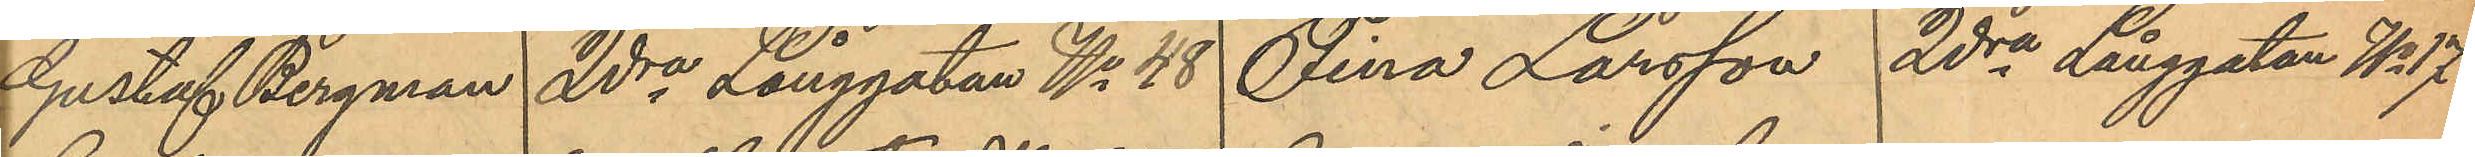Gustaf Bergman 2dra Långgatan No 48 Fina Larsson 2dra Långgatan No 17.
